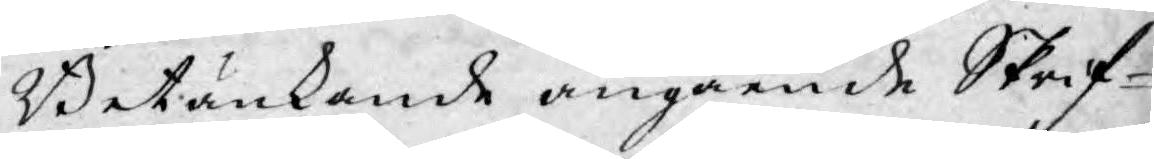Betänkande angående Skrif¬
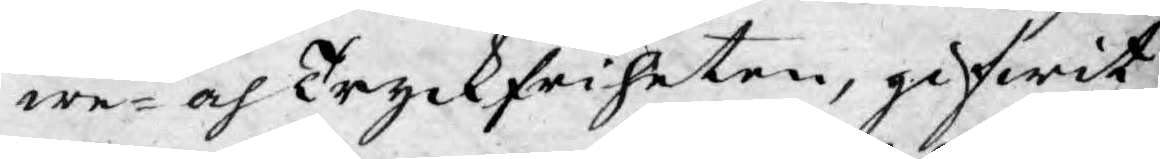we- och Tryckfriheten, gifwit
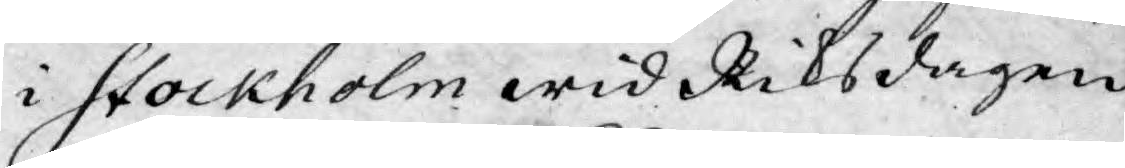i Stockholm wid Riksdagen
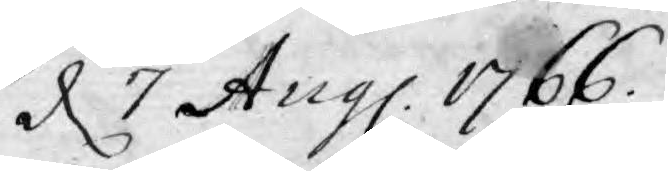d 7 Aug. 1766.
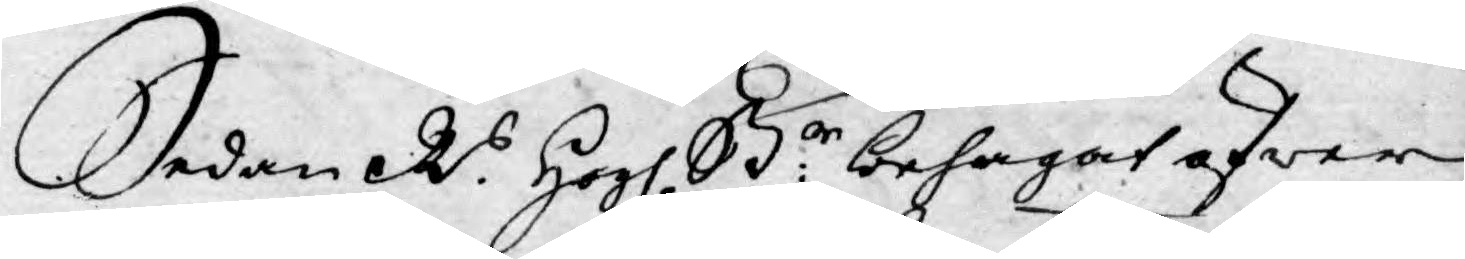Sedan R.s Högl. St:r behagat öfwer
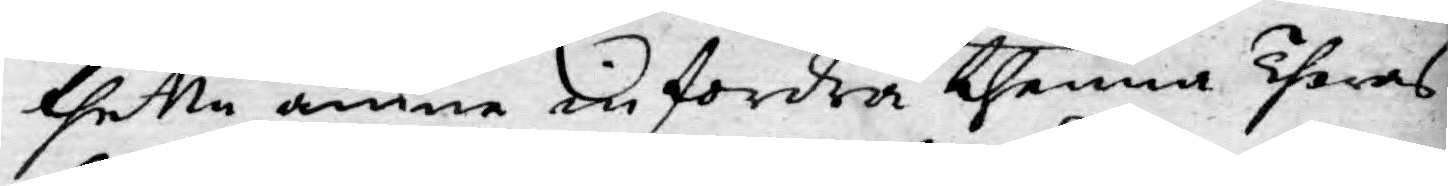thetta ämne infordra thenna Theras
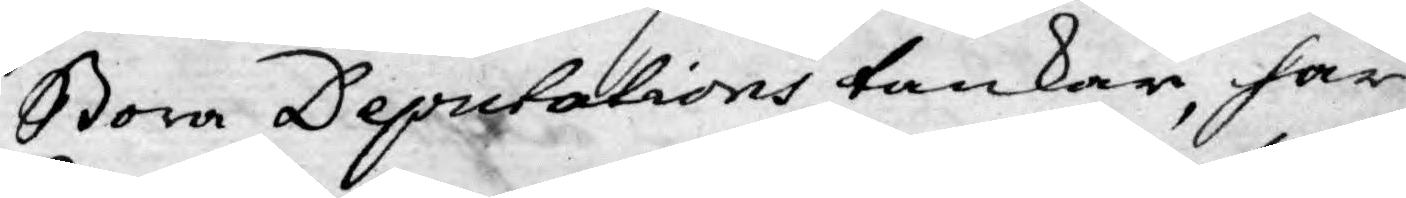Stora Deputations tankar, har
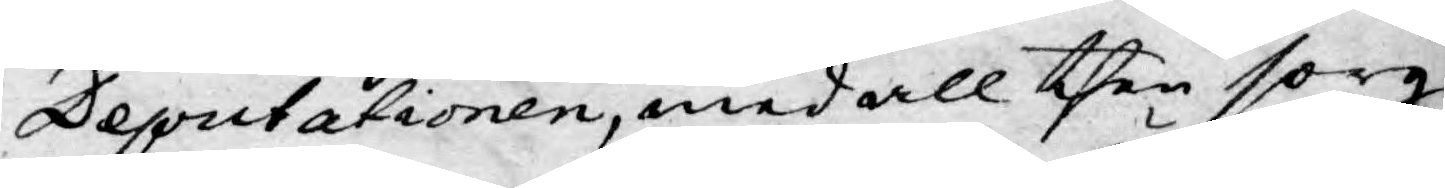Deputationen, med all then sorg¬
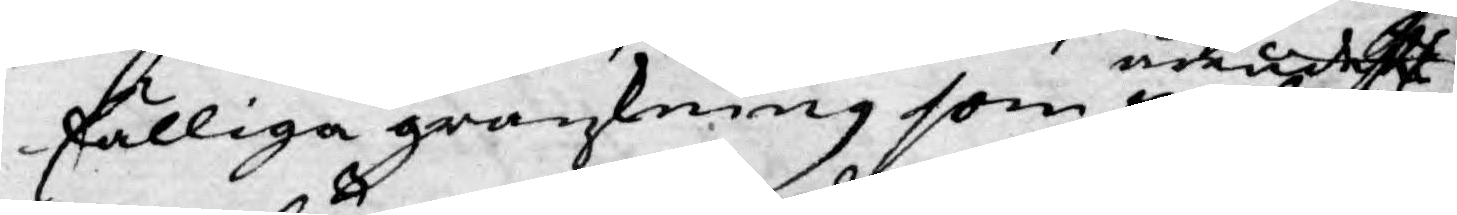fälliga granzkning som äre
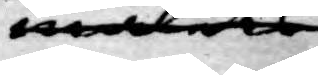medels
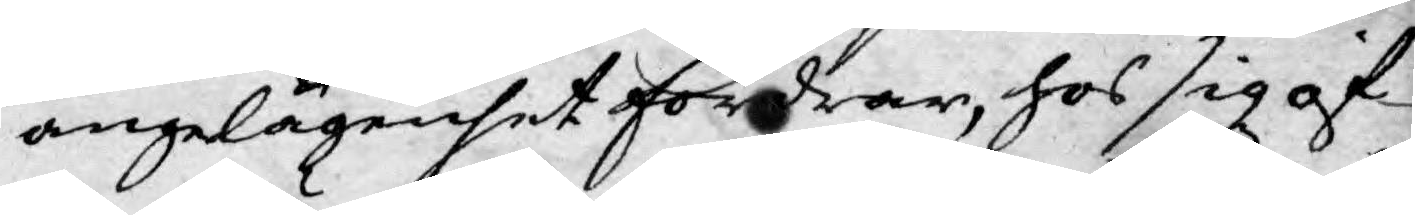angelägenhet fordrar, hos sig öf¬
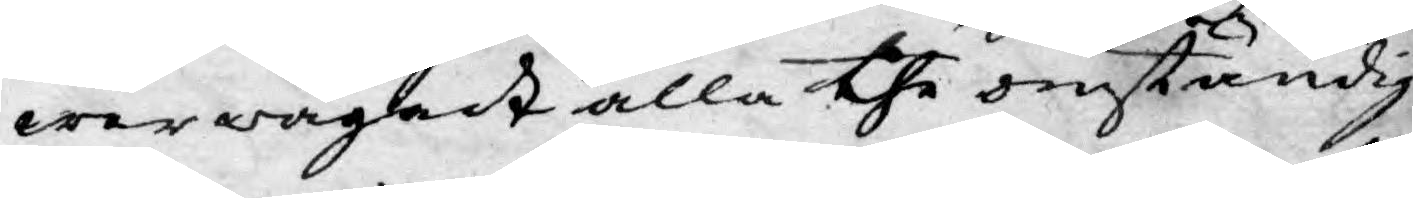werwägadt alla the omständig¬
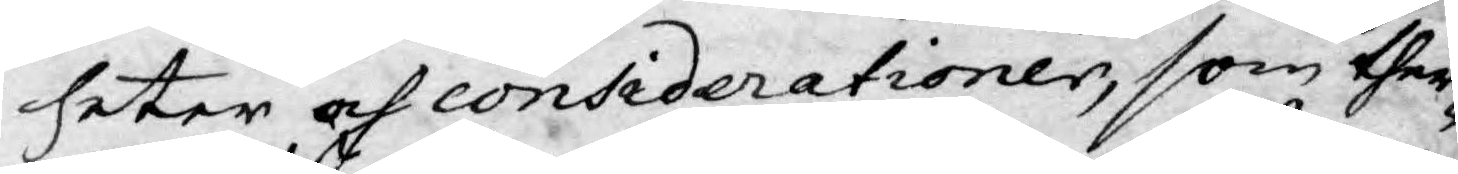heter och considerationer, som ther¬
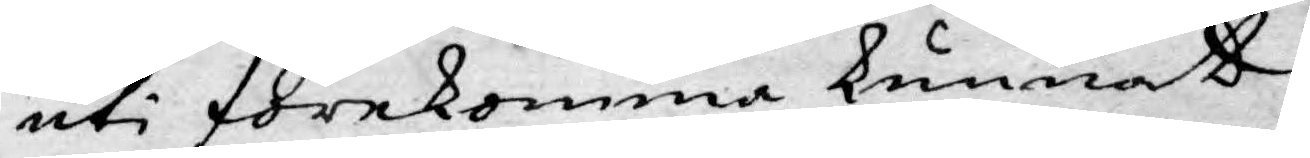uti förekomma kunnat.
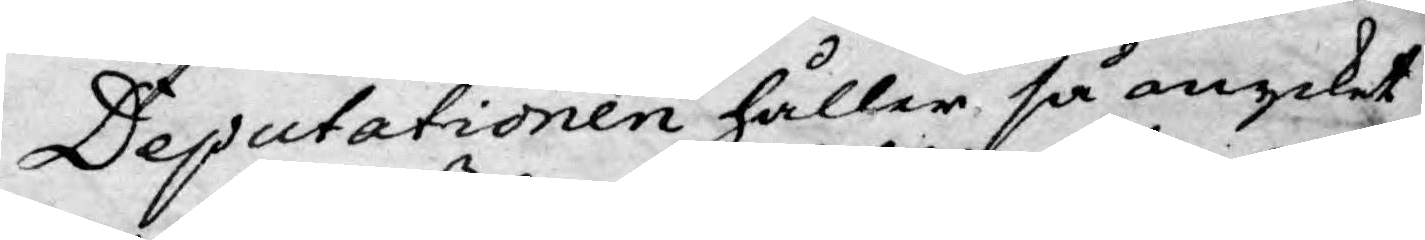Deputationen håller så mycket
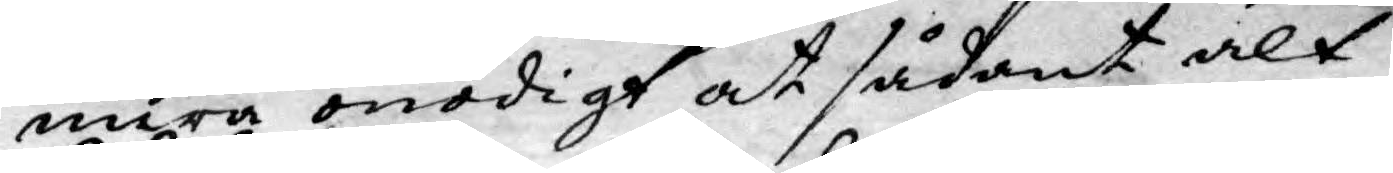mera onödigt at sådant alt
